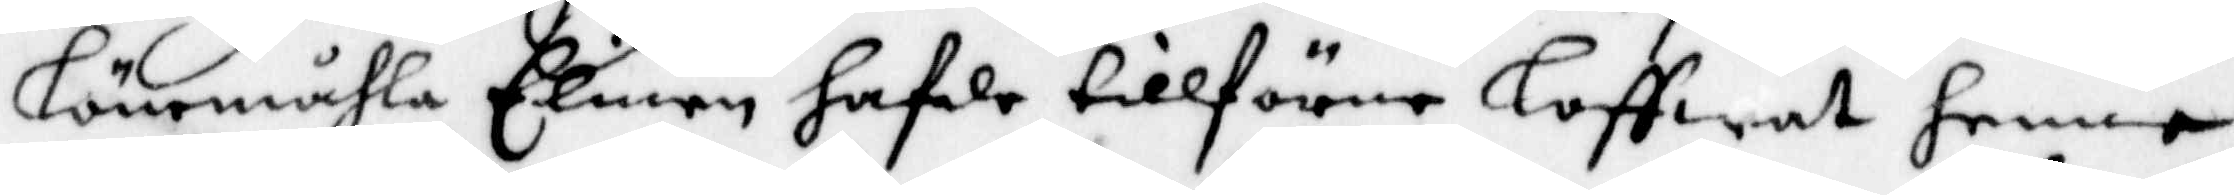Lönemåhla Elinen hafde tillFörne Loffwat henne
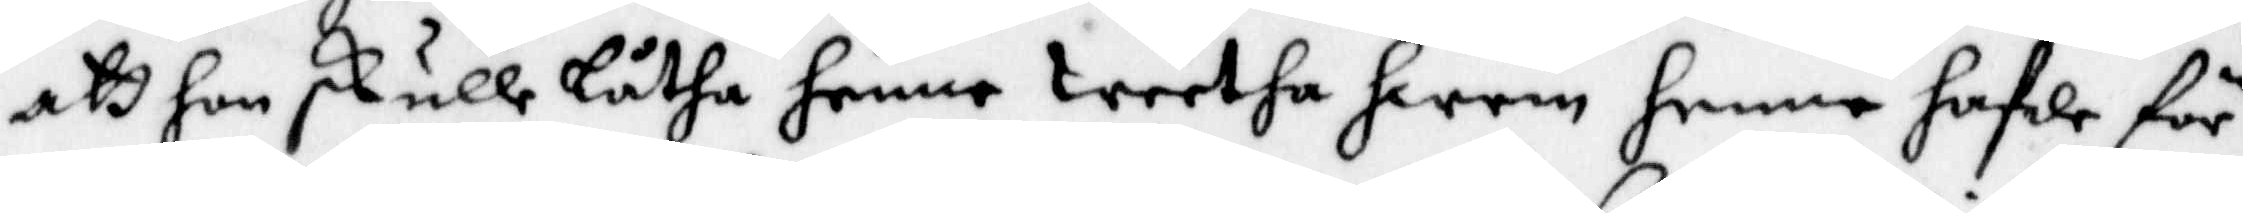att hon skulle låtha henne Weetha hwem henne hafde för¬
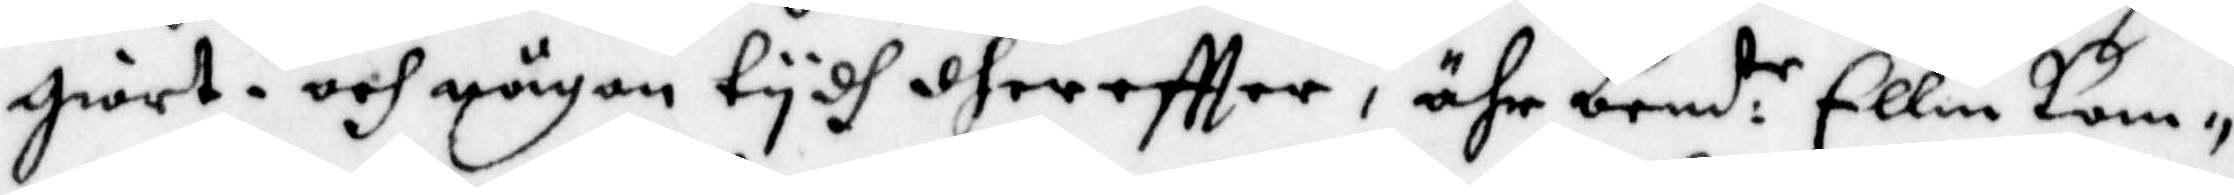giort, och någon tydh dereftter, ähr bemd:e Ellin kom¬
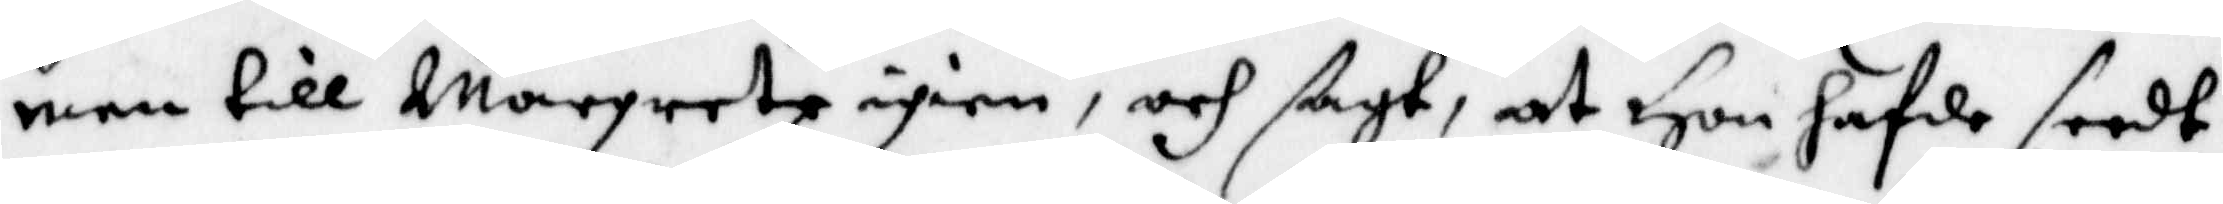men till Margreta igien, och sagt, at Hon hafwe seedt
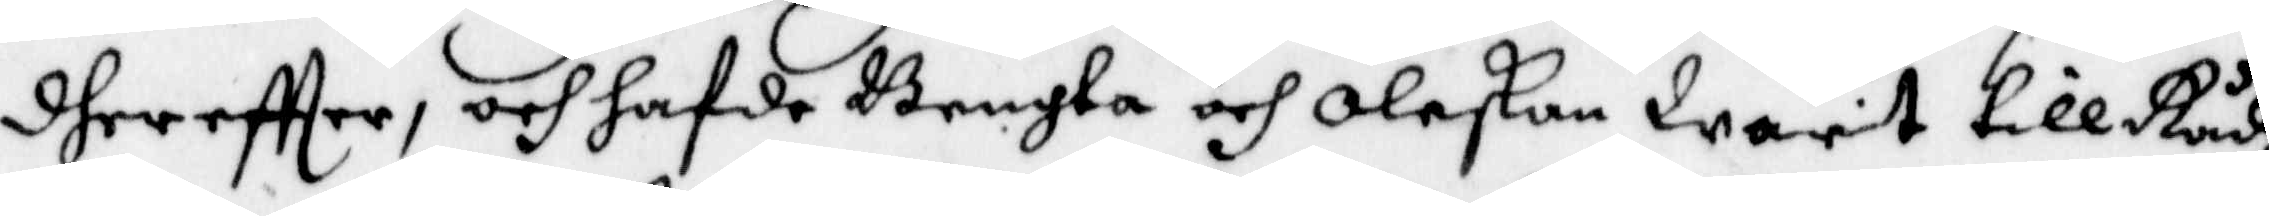dher eftter, och hafde Bengta och Oleskan Warit till Rådz
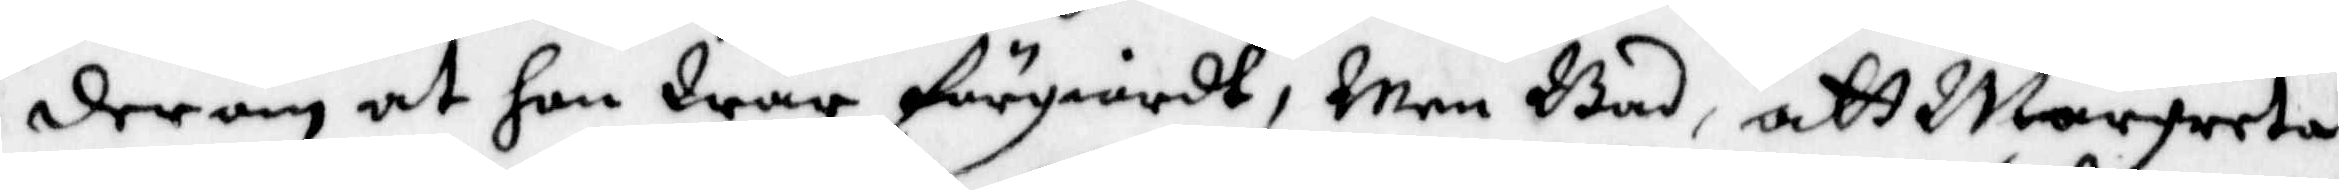derom at hon War förgiordt, Men bad, att Margreta
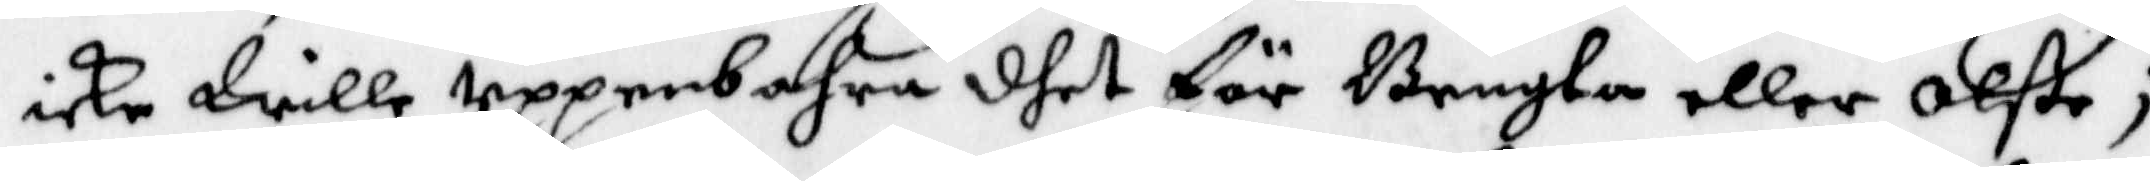icke Wille Uppenbahra dhet för Bengta eller Olße;
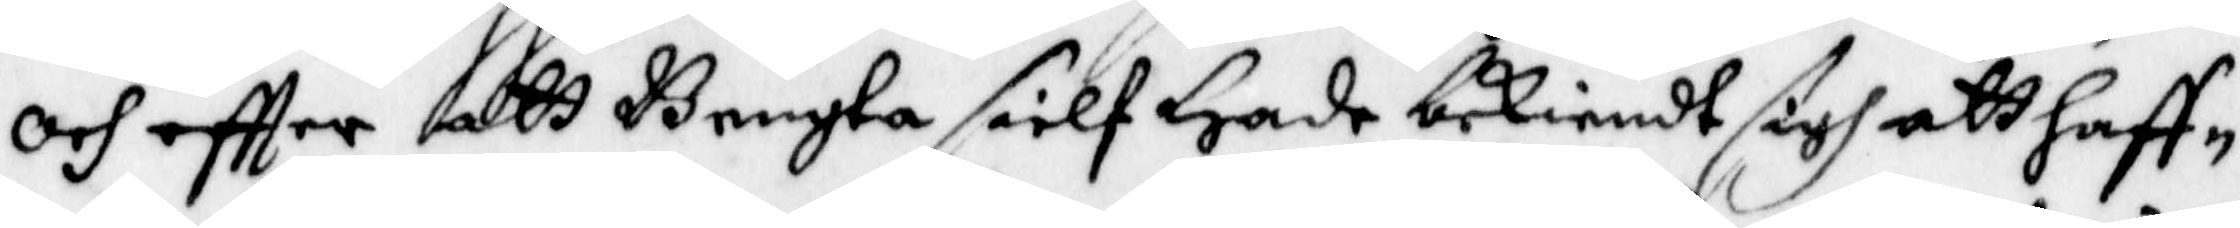och eftter att Bengta sielf Hade bekiendt sigh att haff¬
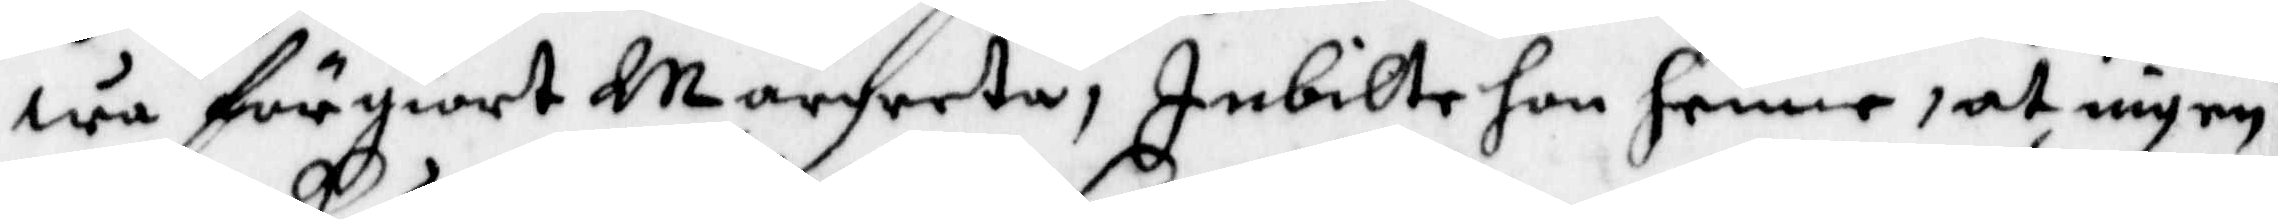wa förgiort Margreta, Inbilte hon henne, at ingen
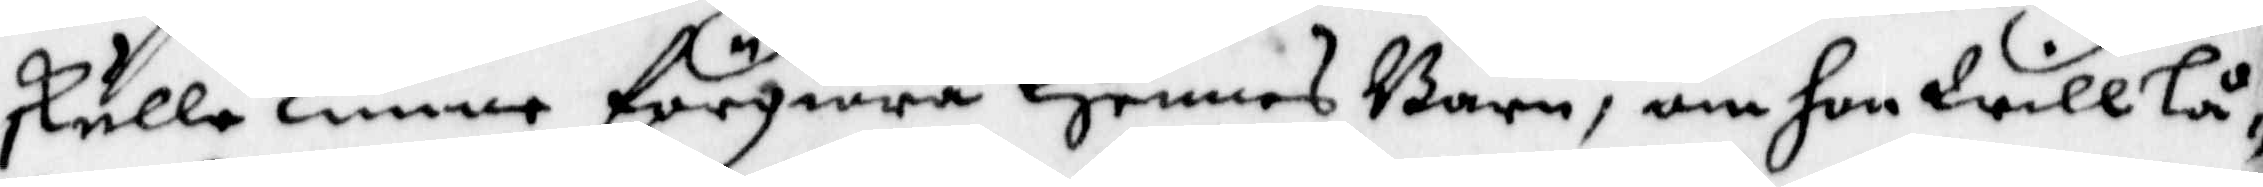skulle kunna förgiöra Hennea Barn, om hon Will Lå¬
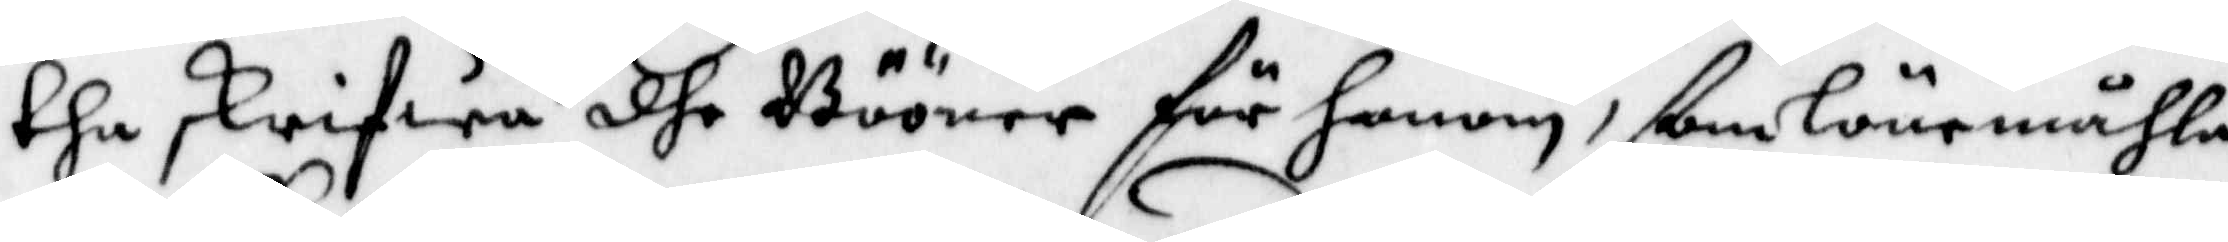tha skrifwa dhe Bööner för honom, ßom Lönemåhla
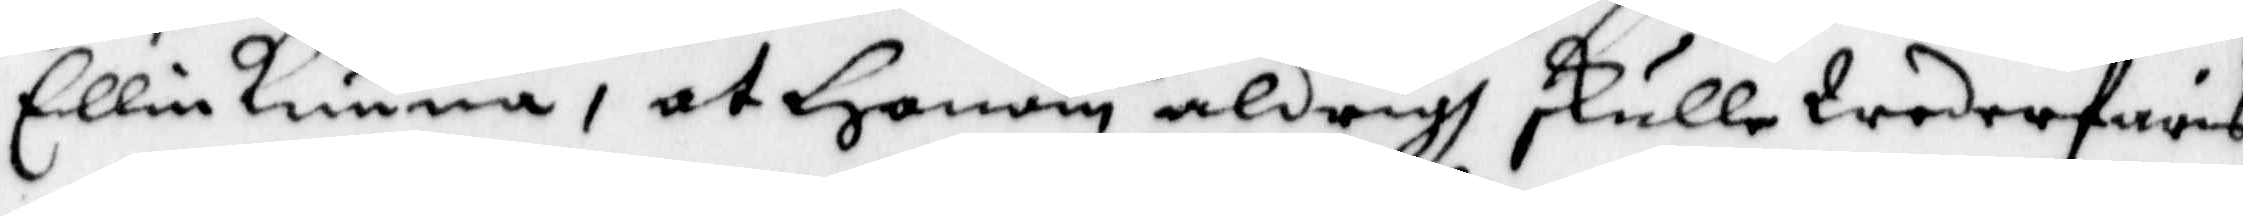Ellin kunna, at Honom aldrigh skulle Wederfaris
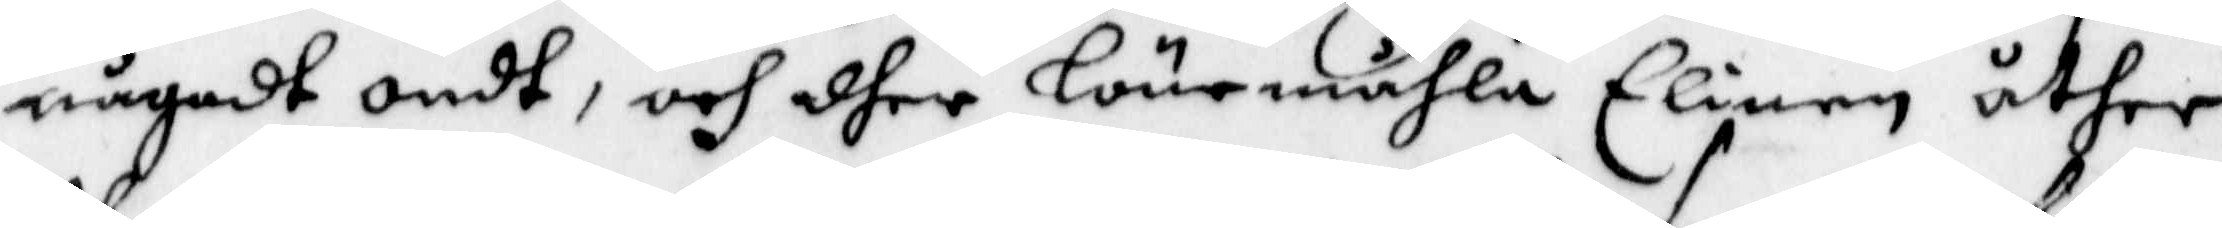någodt ondt, och dher Lönemåhla Elinen åther
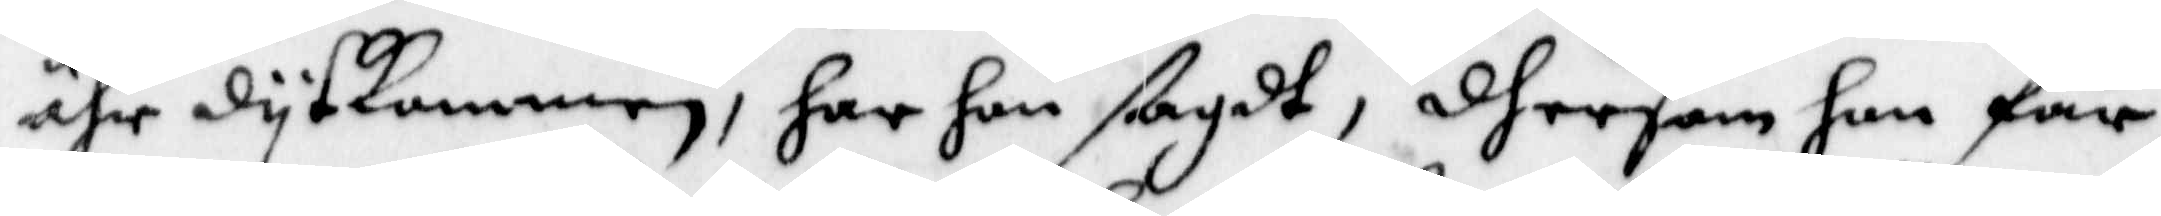ähr dytkommen, har hon ßagdt, dhersom hon får
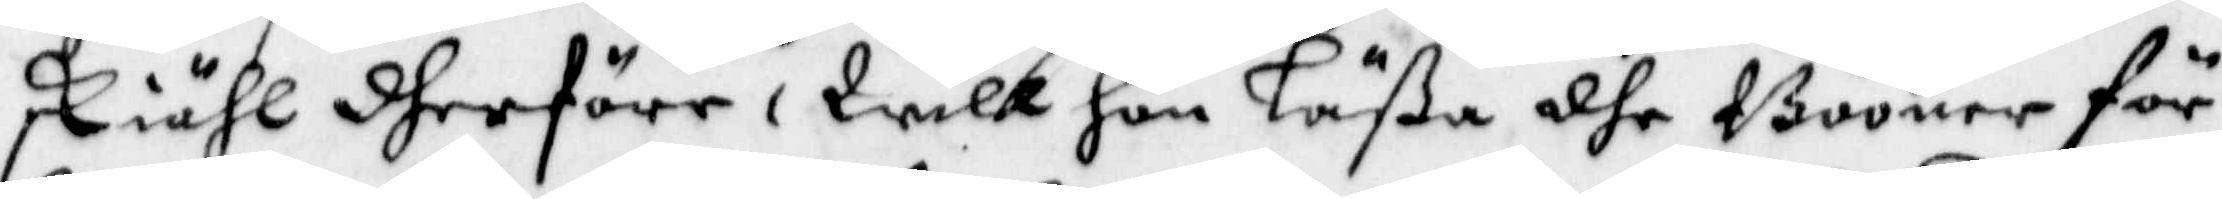skiähl dherföre, Will hon Läßa dhe Bööner för
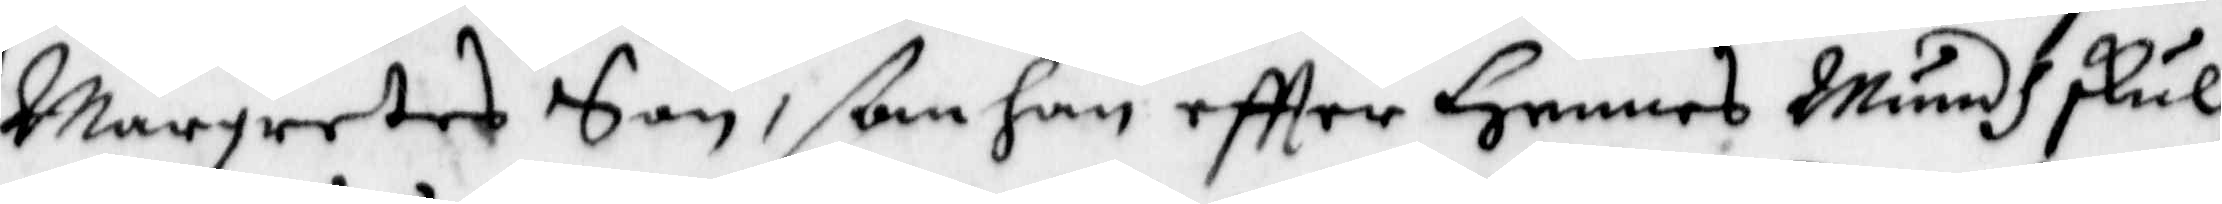Margretas Son, ßom han eftter Hennes Mundh skul¬
